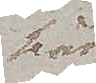här
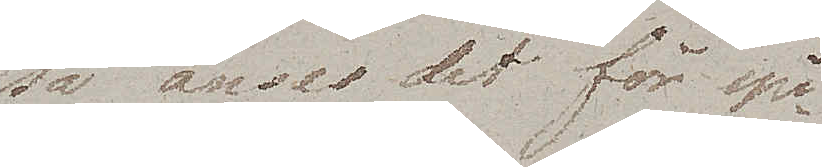så anses det för spi¬
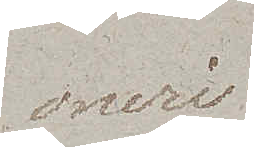oneri.
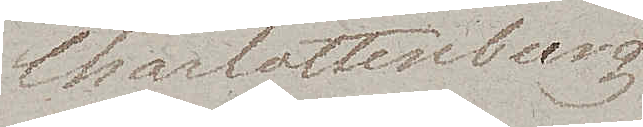Charlottenburg,
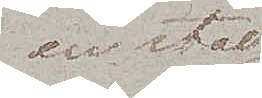en stad
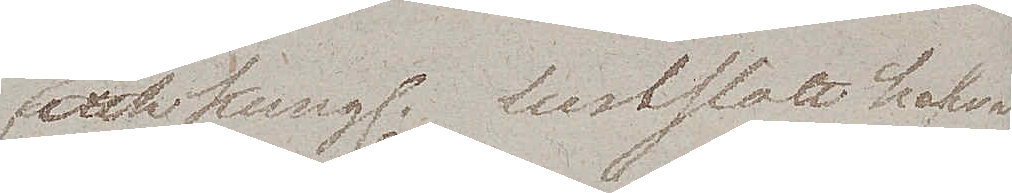och Kungl. Lustslott hafva
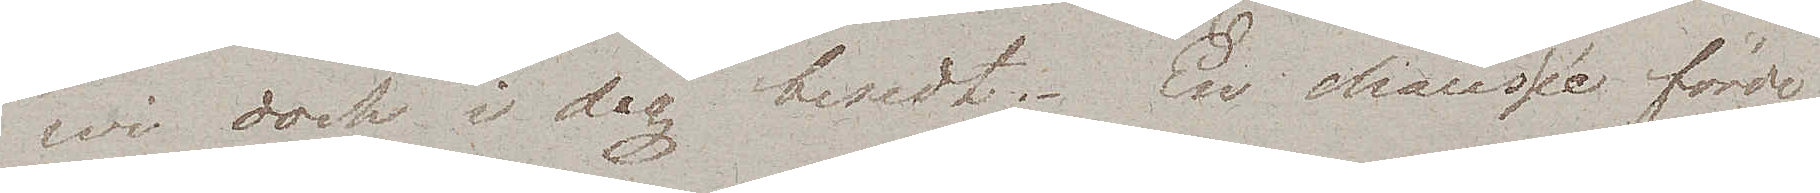wi dock i dag besedt. En chaussée förde
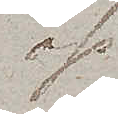oss
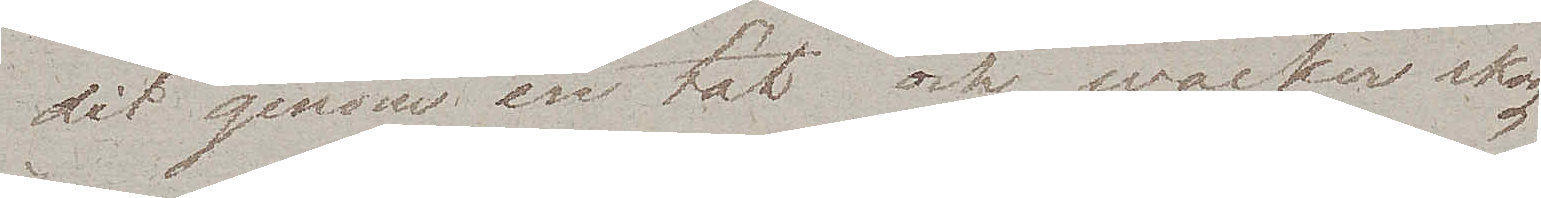dit genom en tät och wacker skog.
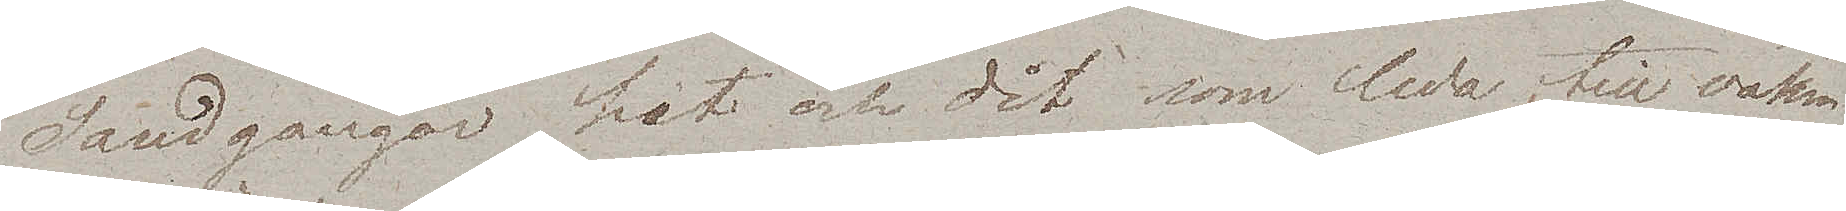Sandgångar hit och dit som leda till vakra
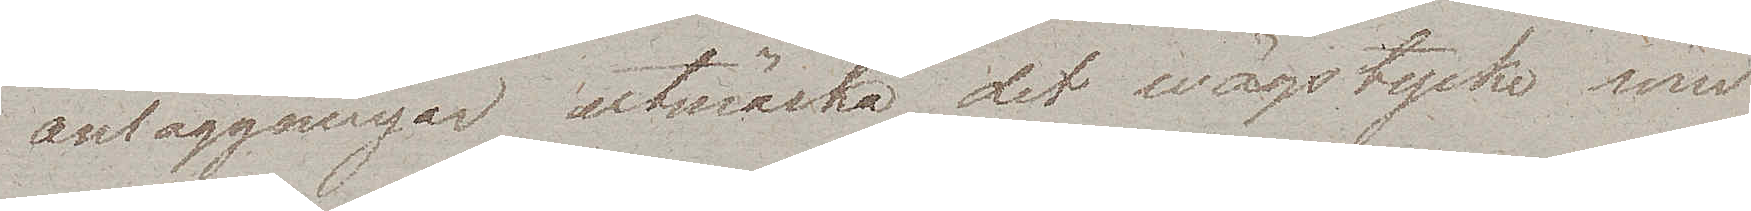anläggningar utmärka det wägstycke som
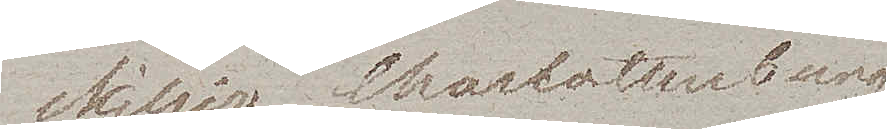skiljer Charlottenburg
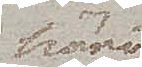häri¬
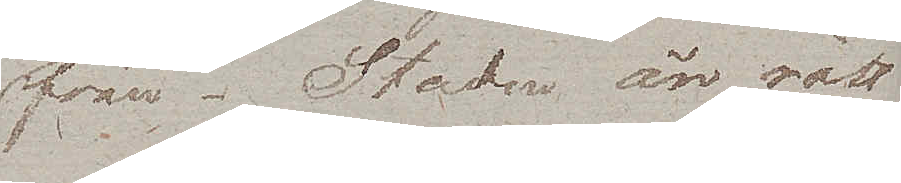från. Staden är rätt
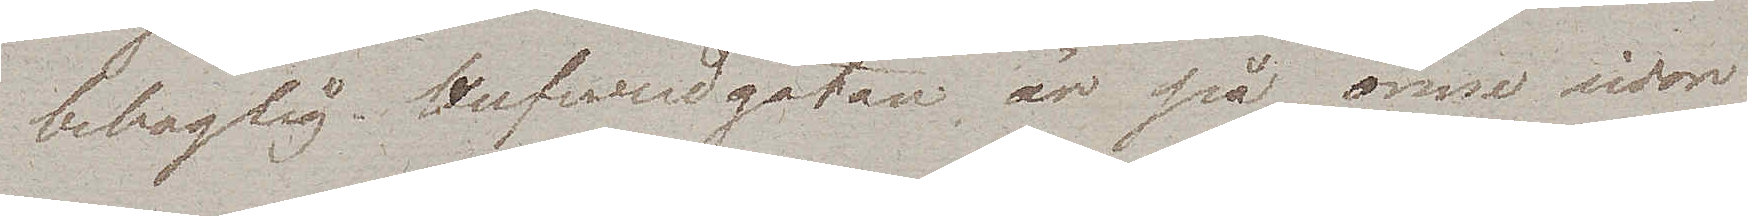behaglig. Hufvudgatan är på ömse sidor
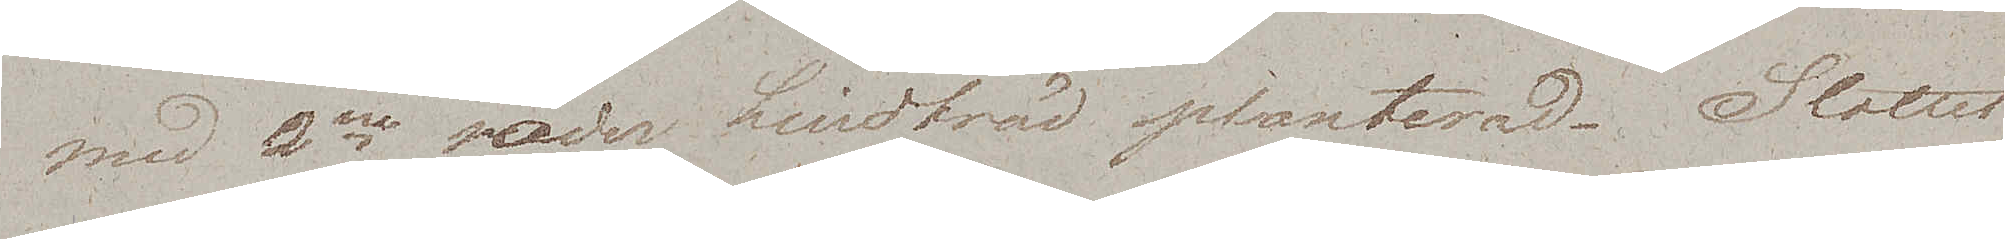med 2ne rader Lindträd planterad. Slottet
